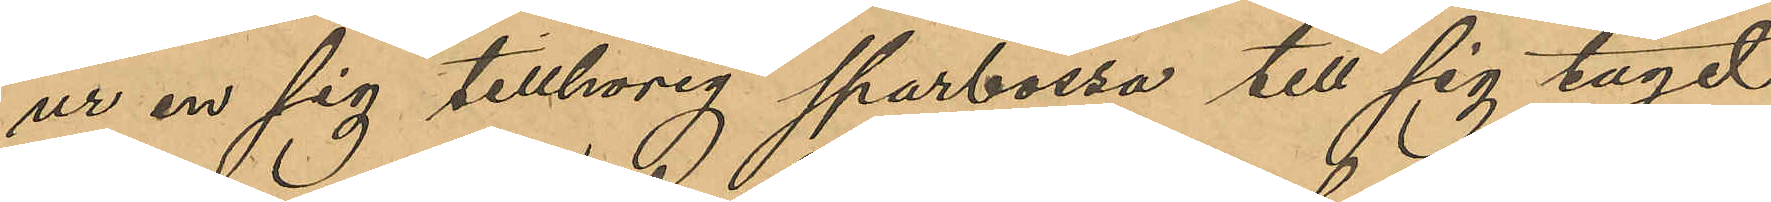ur en sig tillhörig sparbössa till sig tagit
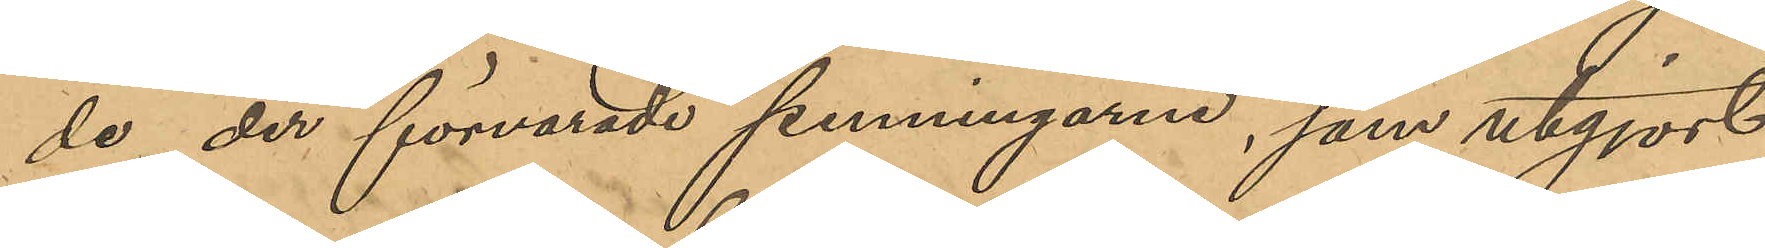de der förvarade penningarne, som utgjort
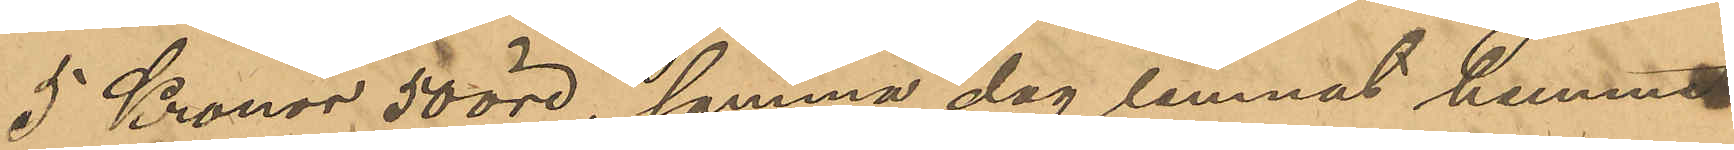5 kronor 50 öre, samma dag lemnat hemmet
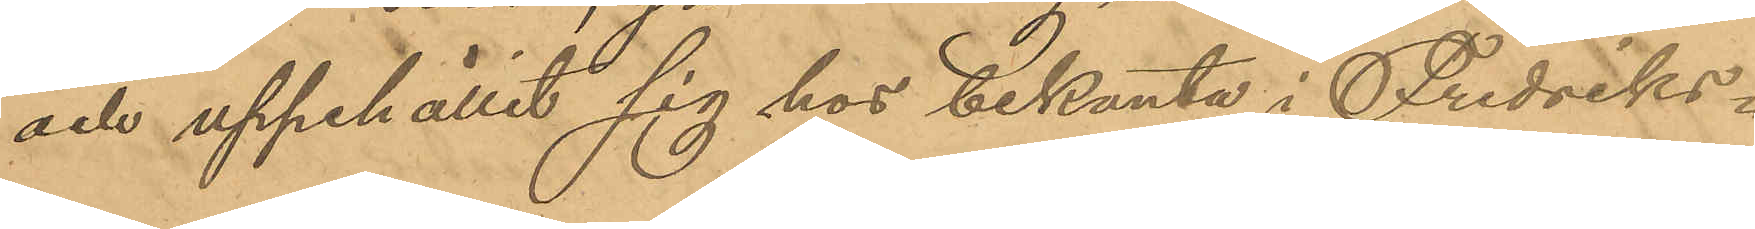och uppehållit sig hos bekanta i Fredriks¬
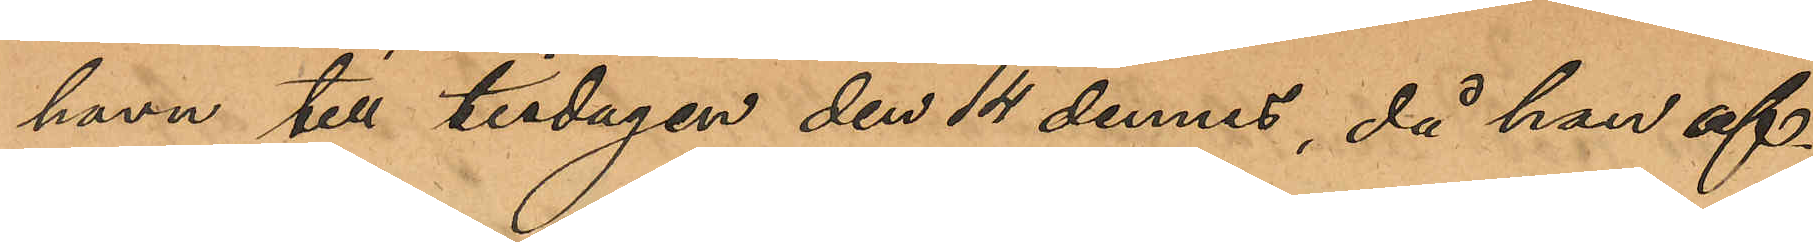havn till tisdagen den 14 dennes, då han af¬
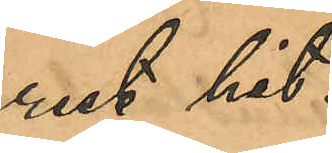rest hit.
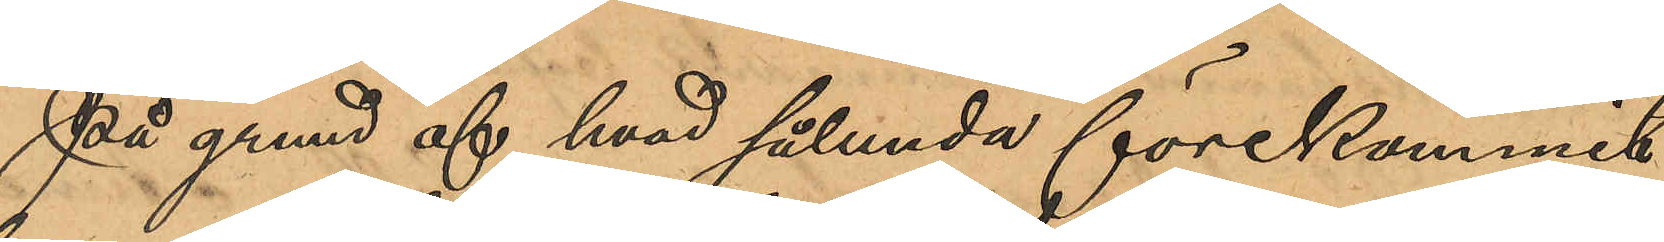På grund af hvad sålunda förekommit
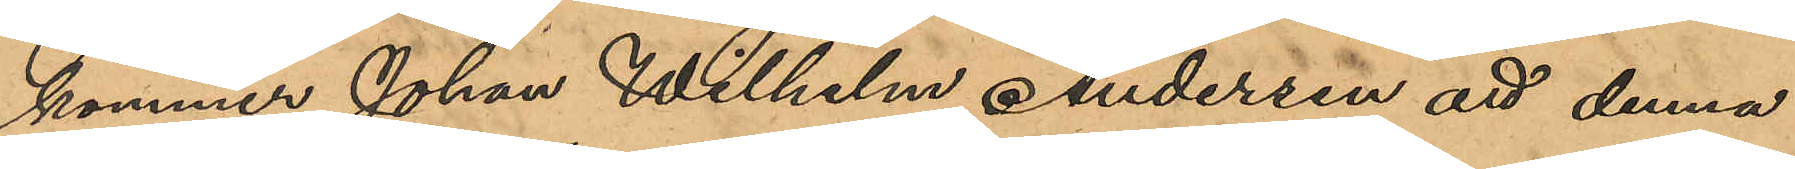kommer Johan Wilhelm Anderson att denna
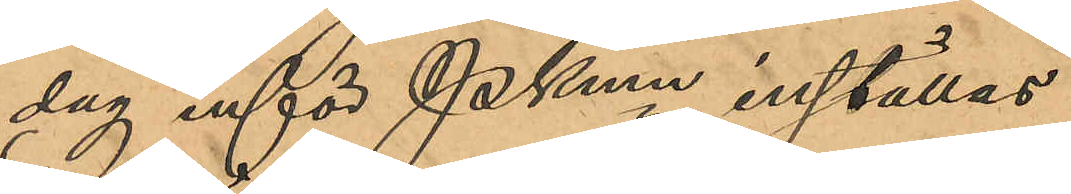dag inför Pkmn inställas.
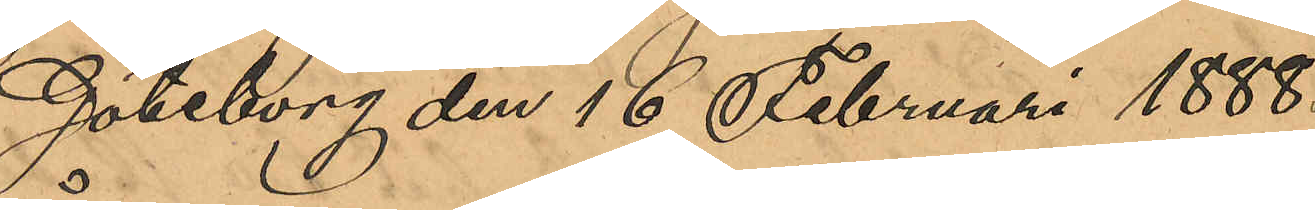Göteborg den 16 Februari 1888.
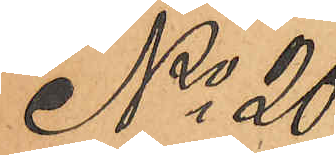No 20
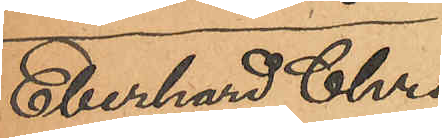Eberhard Chri¬
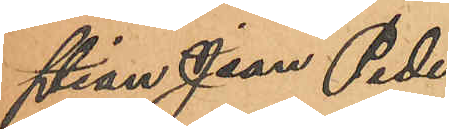stian Jean Peder
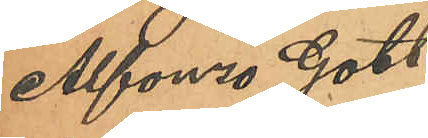Alfonzo Gott¬
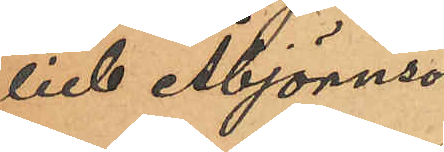lieb Åbjörnson.
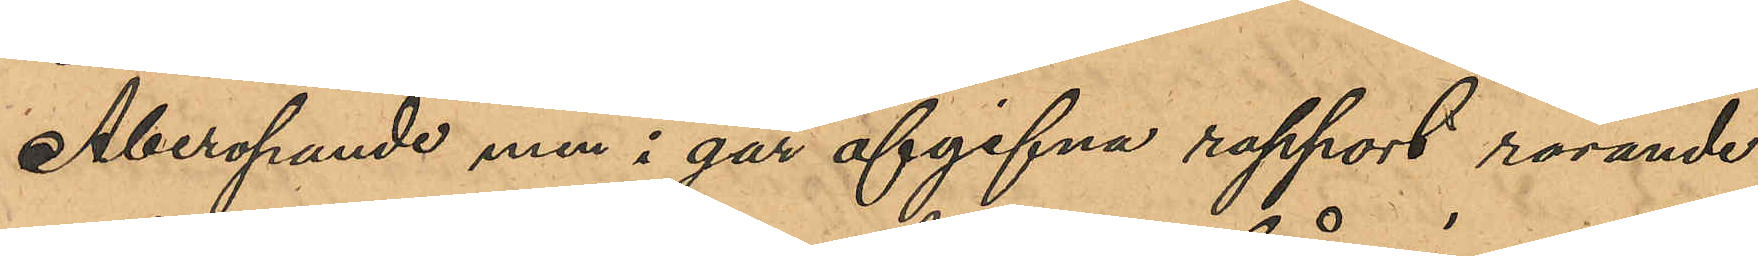Åberopande min i går afgivna rapport rörande
